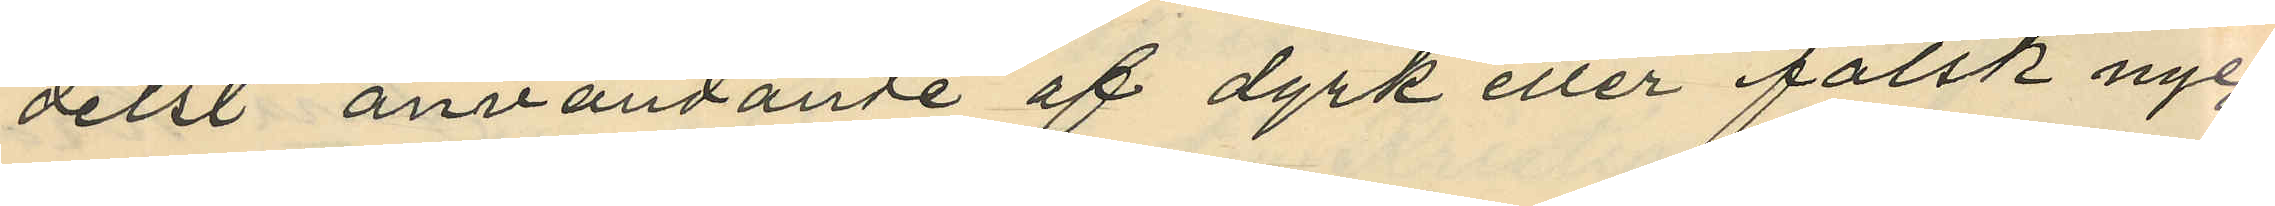delst användande af dyrk eller falsk nyc¬
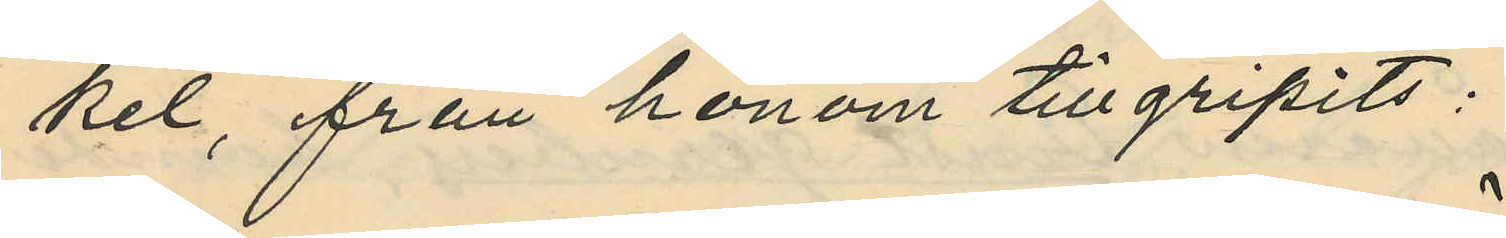kel, från honom tillgripits:
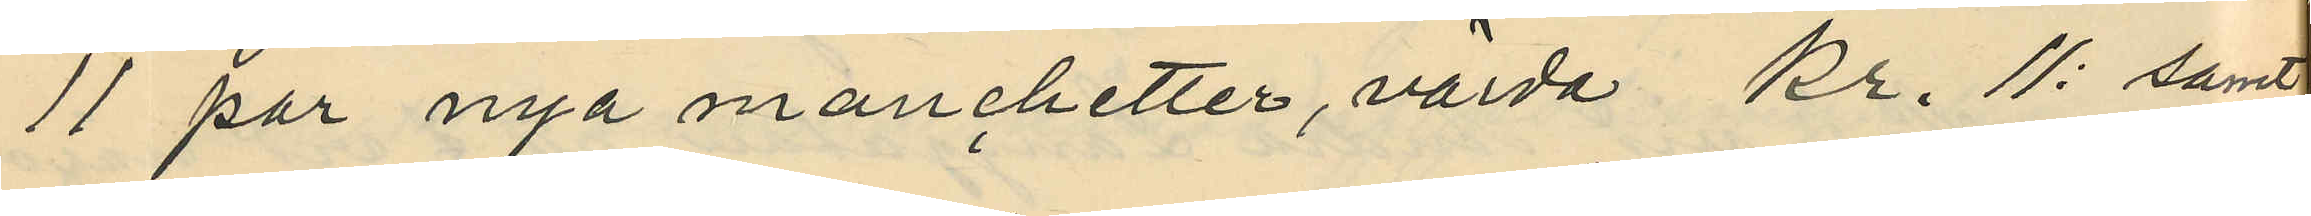11 par nya manchetter, värda Kr. 11: samt
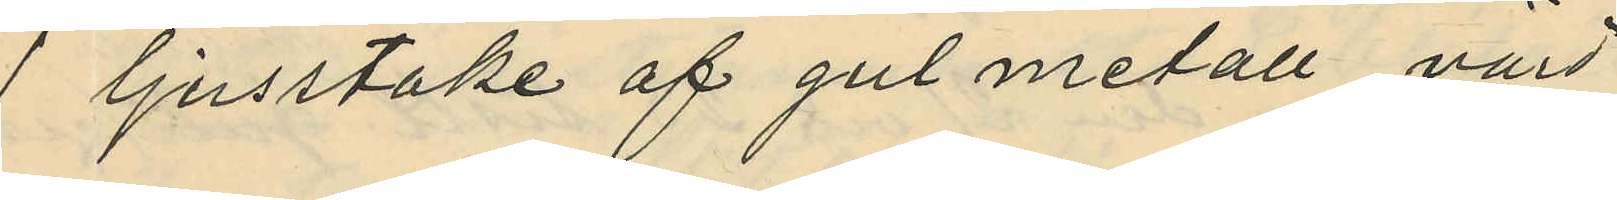1 ljusstake af gul metall, värd
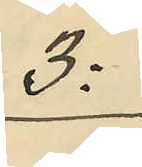3:
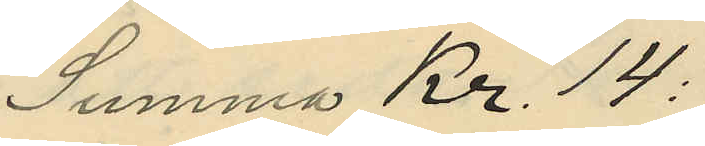Summa Kr. 14:
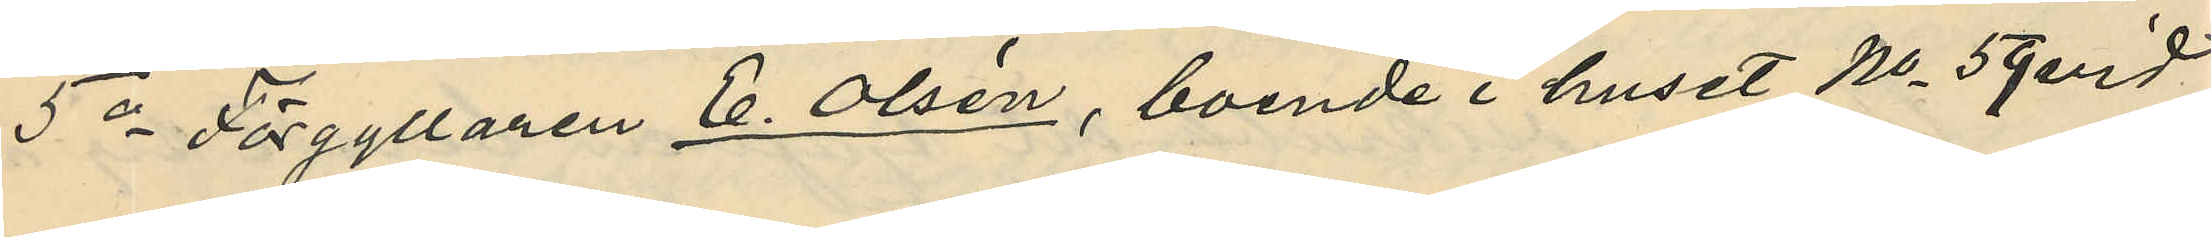5o Förgyllaren C. Olsén, boende i huset No 59 vid
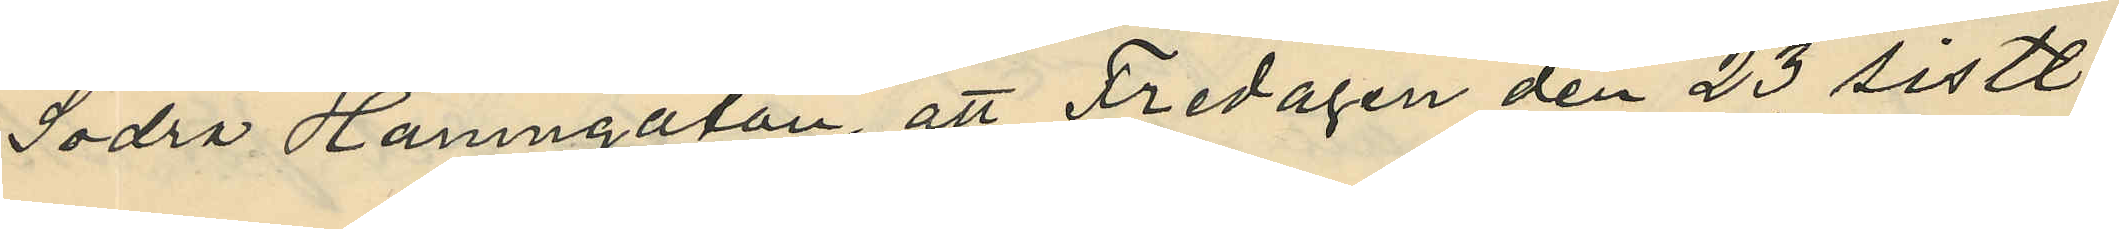Södra Hamngatan, att Fredagen den 23 sistl.
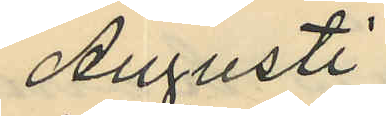Augusti
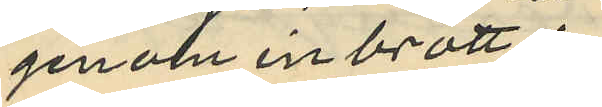genom inbrott i
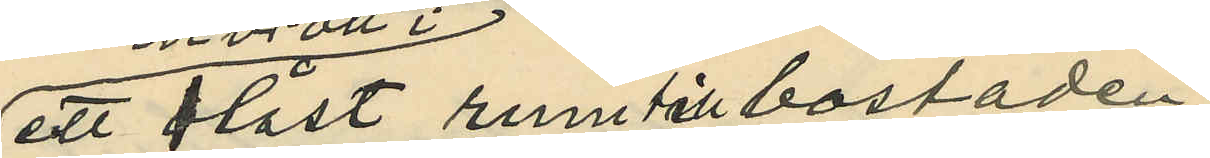ett olåst rum till bostaden
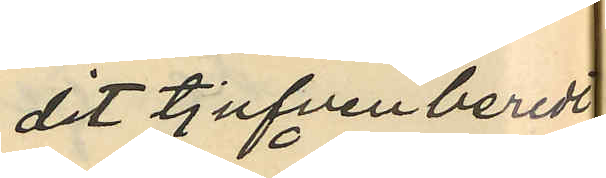dit tjufven beredt
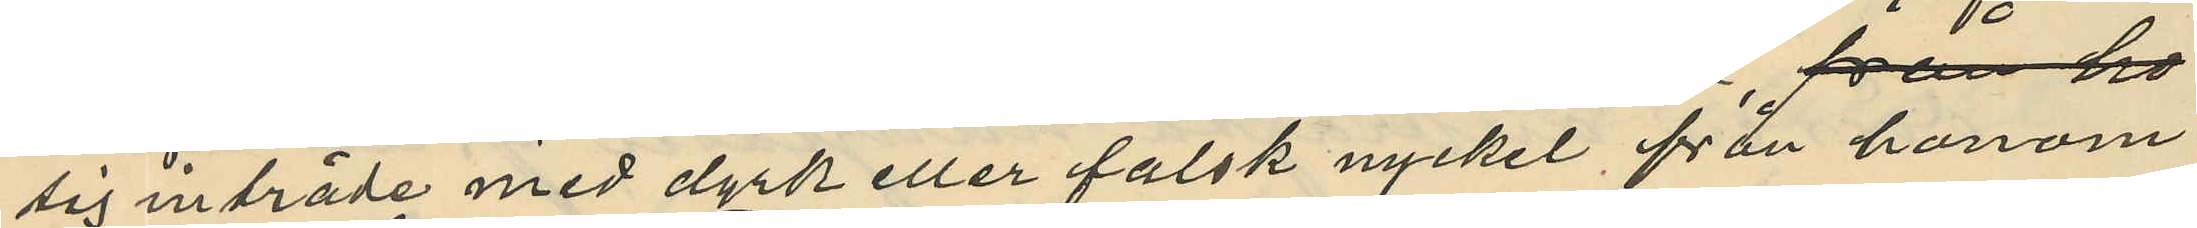sig inträde med dyrk eller falsk nyckel från honom
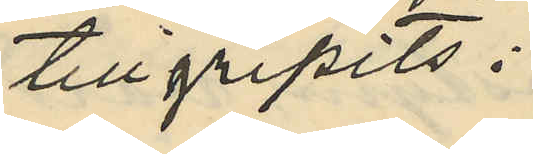tillgripits:
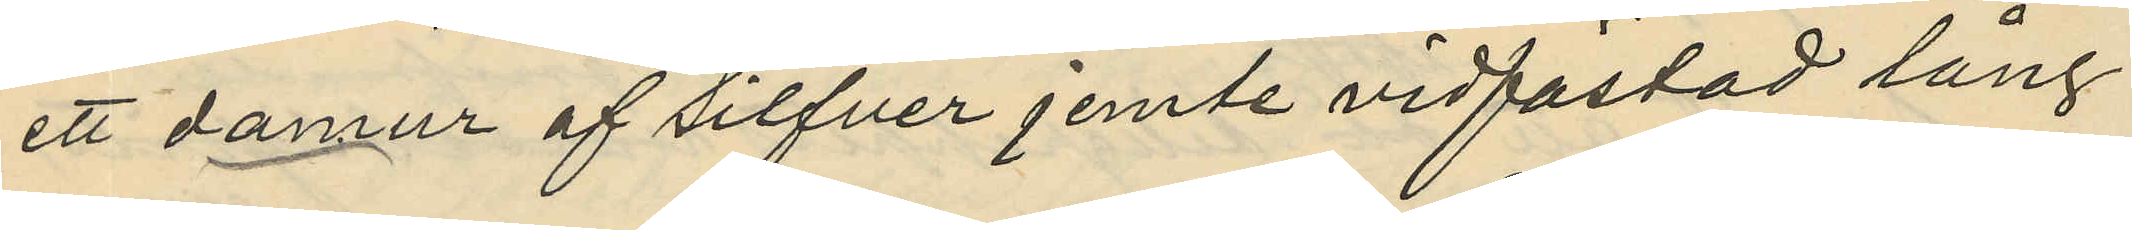ett damur af silfver jemte vidfästad lång
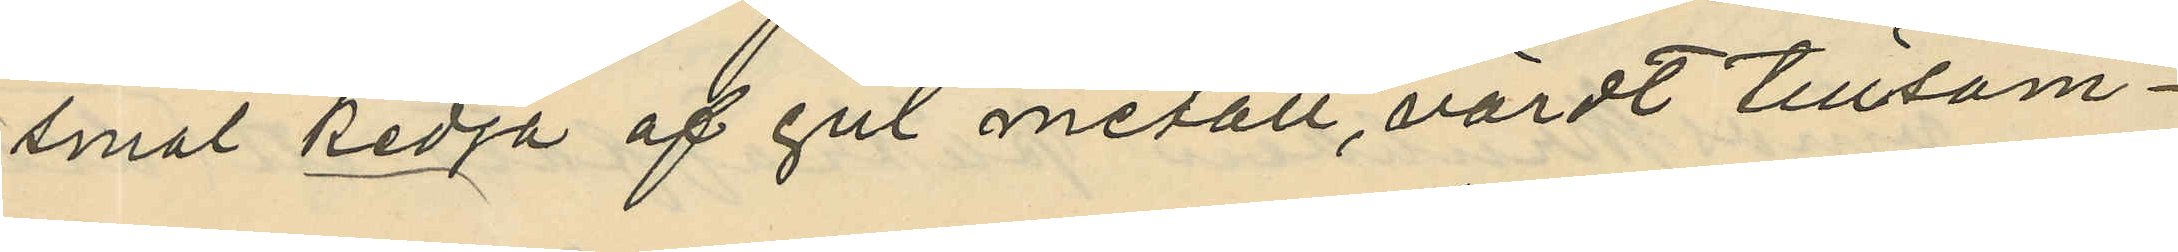smal kedja af gul metall, värdt tillsam¬
